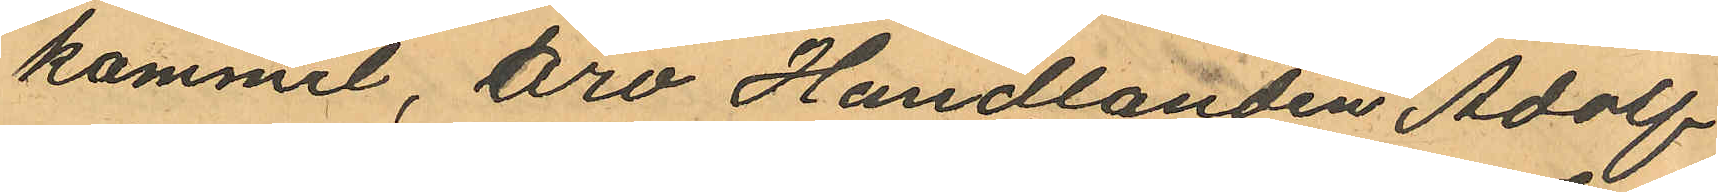kommit, äro Handlanden Adolf
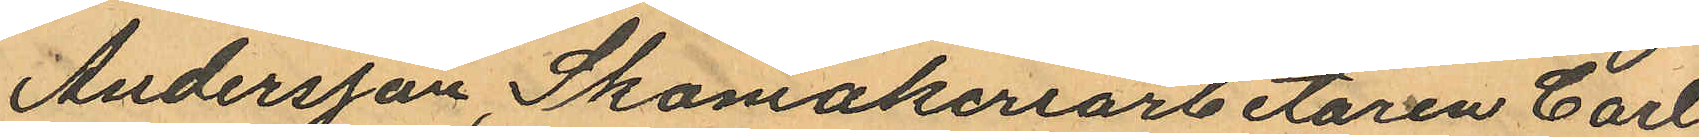Andersson, Skomakeriarbetaren Carl
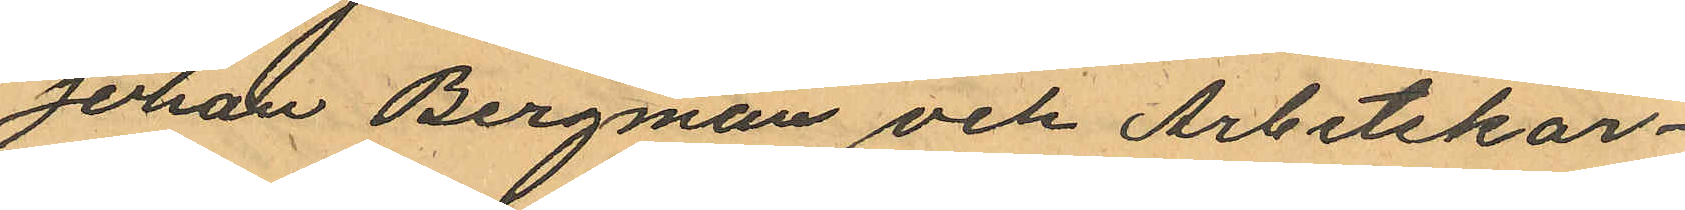Johan Bergman och Arbetskar¬
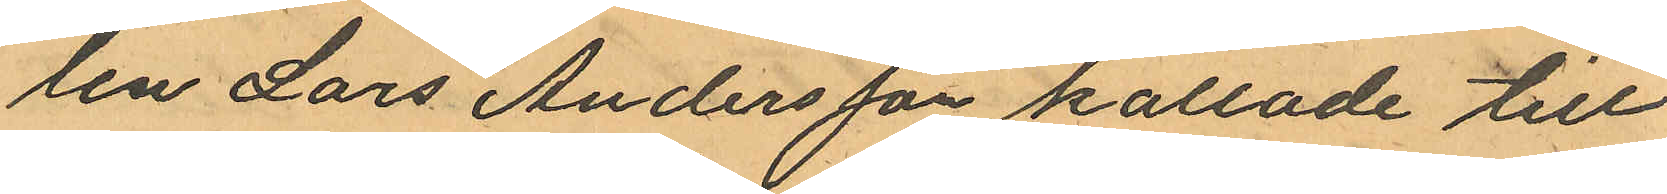len Lars Andersson kallade till
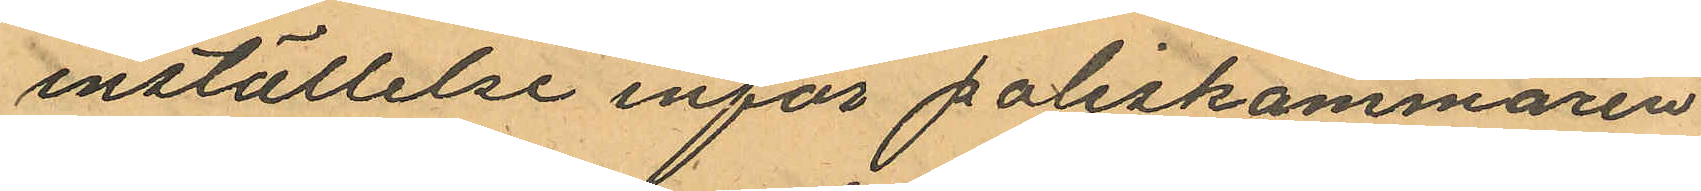inställelse inför poliskammaren
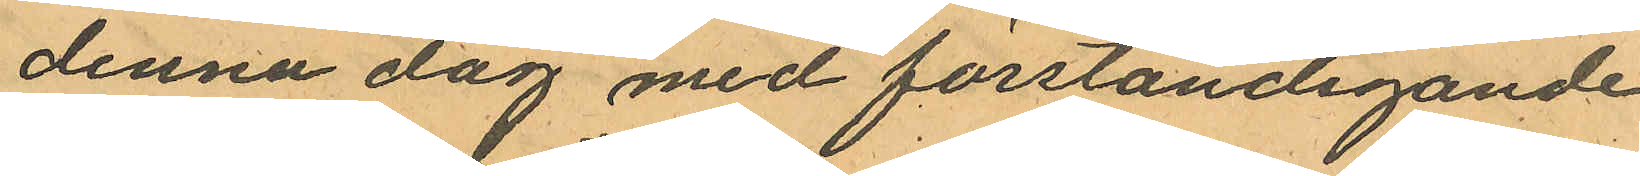denna dag med förständigande
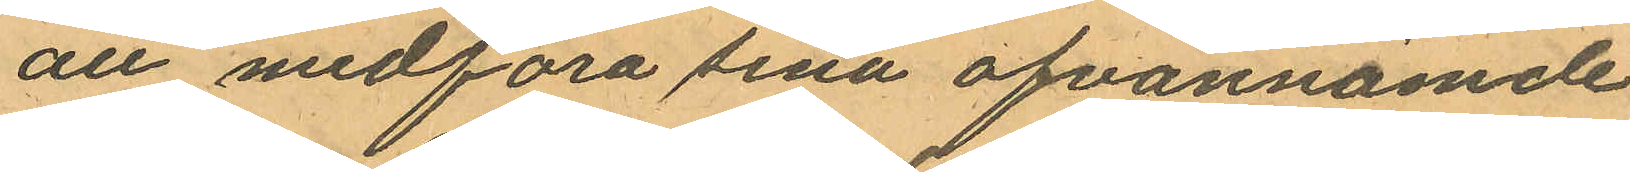att medföra sina ofvannämde
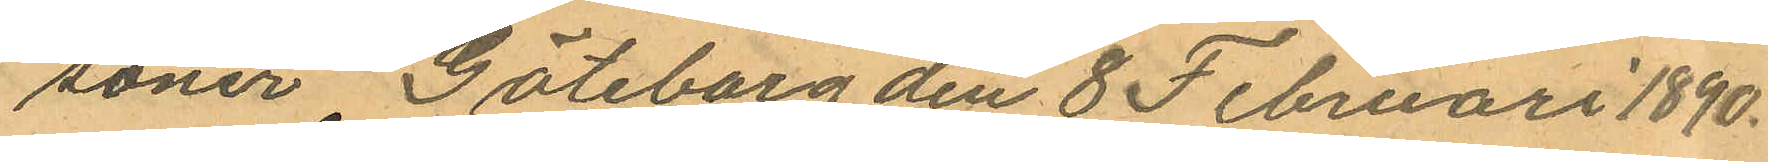söner Göteborg den 8 Februari 1890.
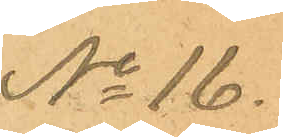No 16.
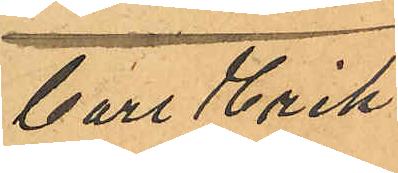Carl Erik
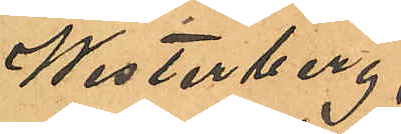Westerberg,
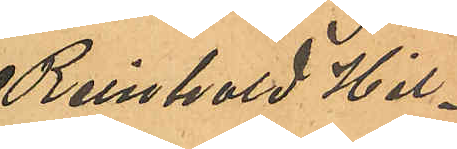Reinhold Hil¬
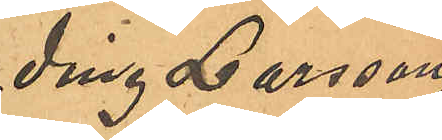ding Larsson,
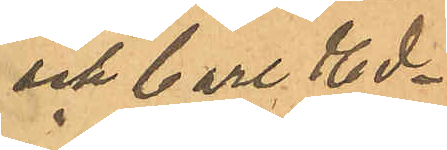och Carl Ed¬
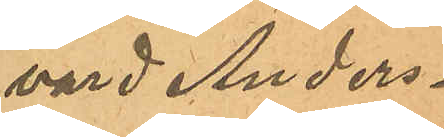vard Anders¬
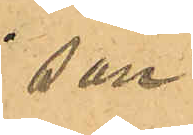son.
